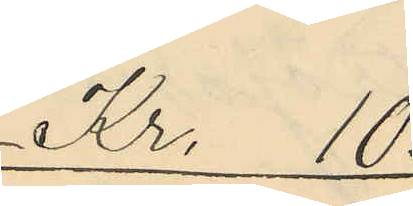Kr. 10:
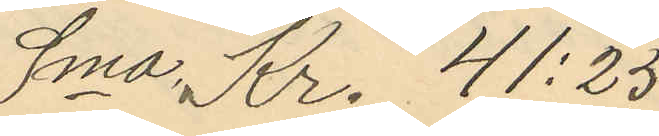Sma Kr. 41:25
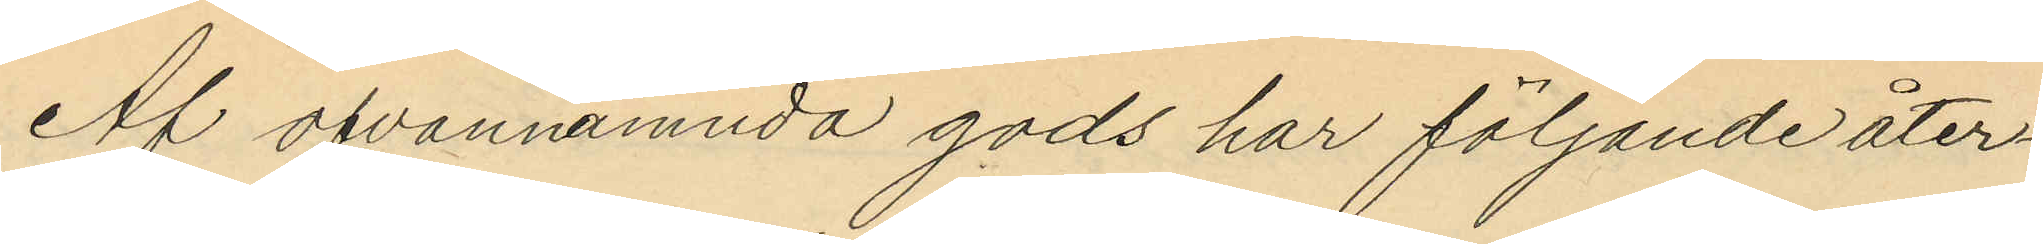Af ofvannämnda gods har följande åter¬
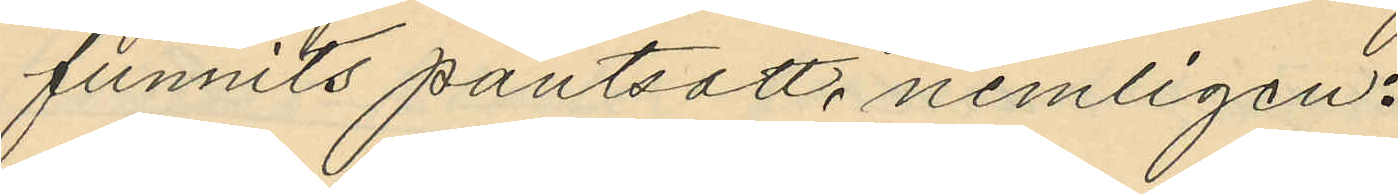funnits pantsatt, nemligen:
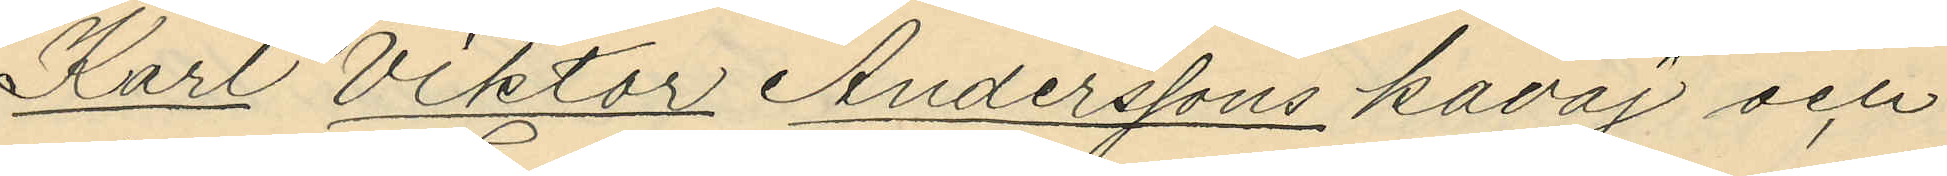Karl Viktor Anderssons kavaj och
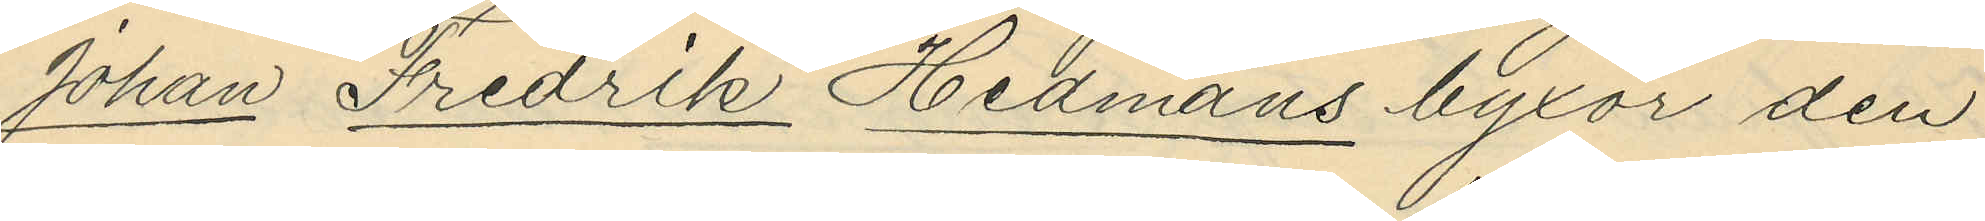Johan Fredrik Hedmans byxor den
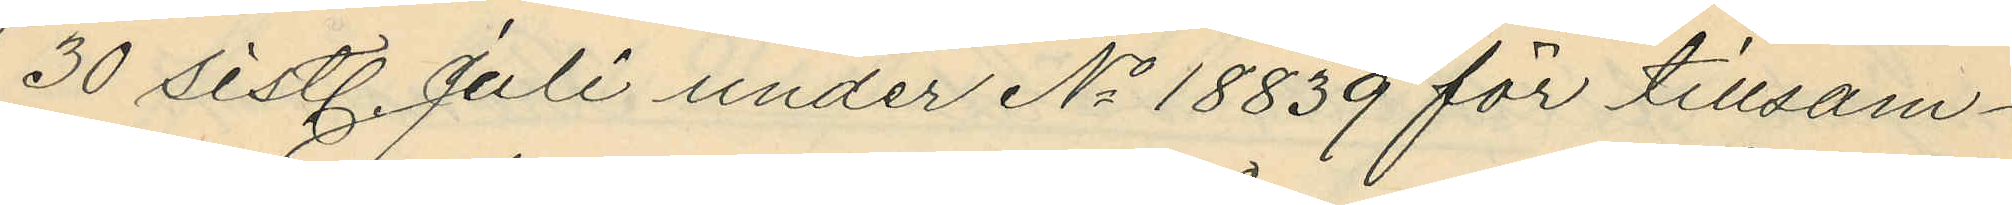30 sistl. Juli under No 18839 för tillsam¬
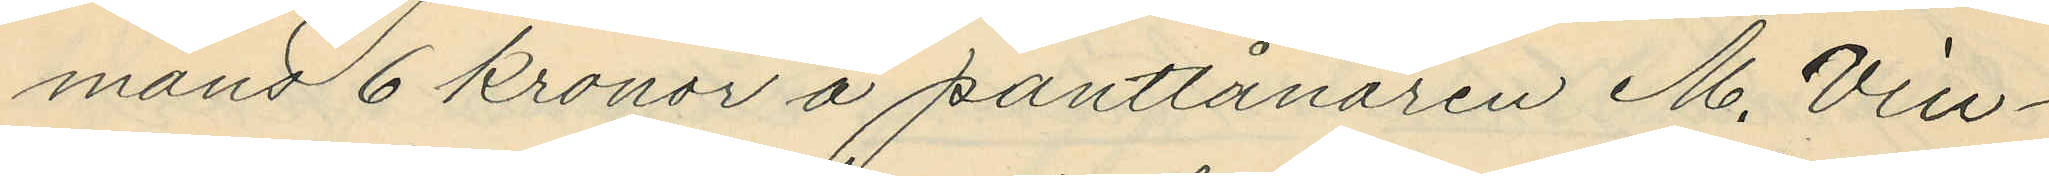mans 6 kronor å pantlånaren M. Vin¬
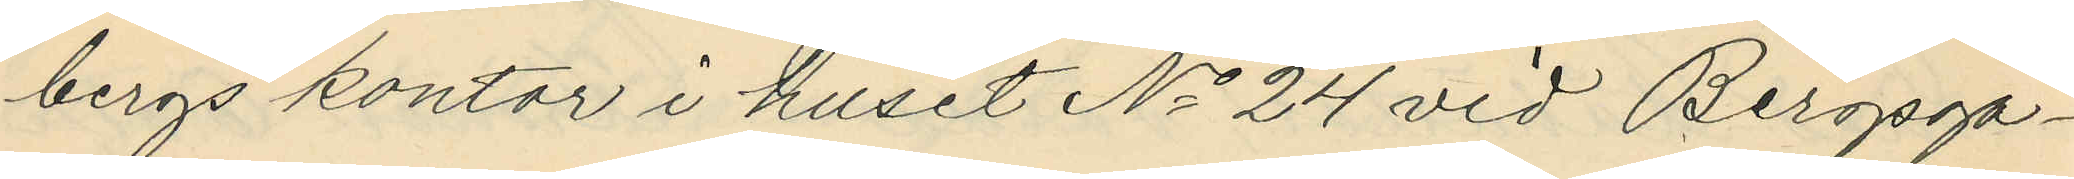bergs kontor i huset No 24 vid Bergsga¬
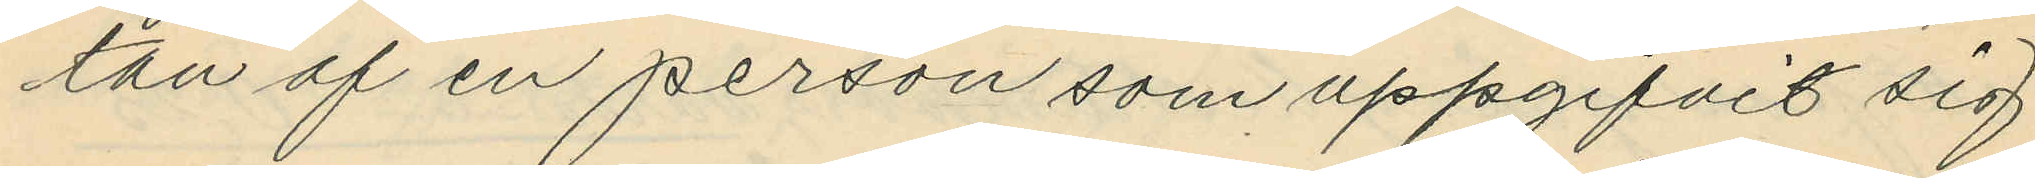tan af en person som uppgifvit sig
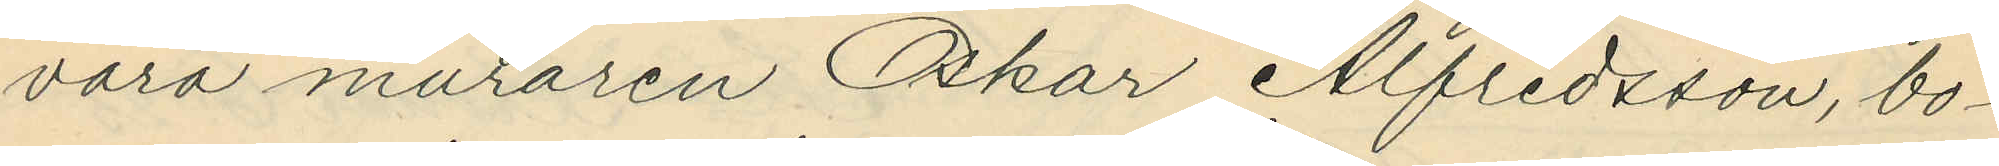vara muraren Oskar Alfredsson, bo¬
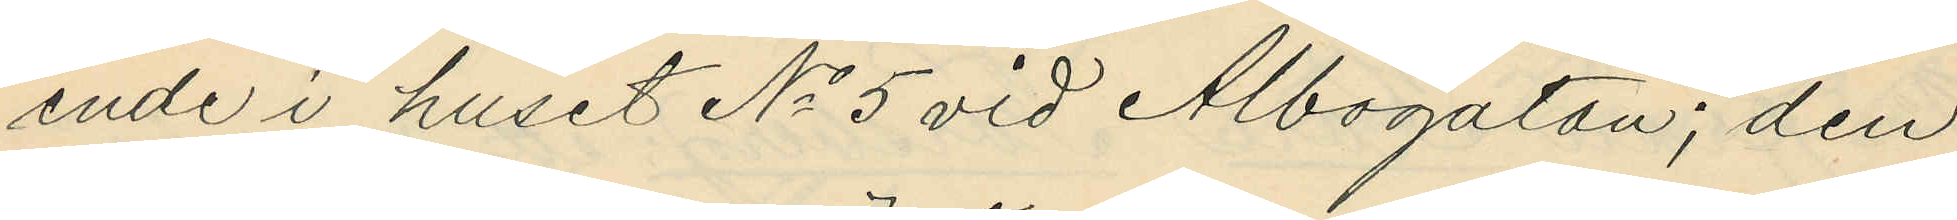ende i huset No 5 vid Albogatan; den
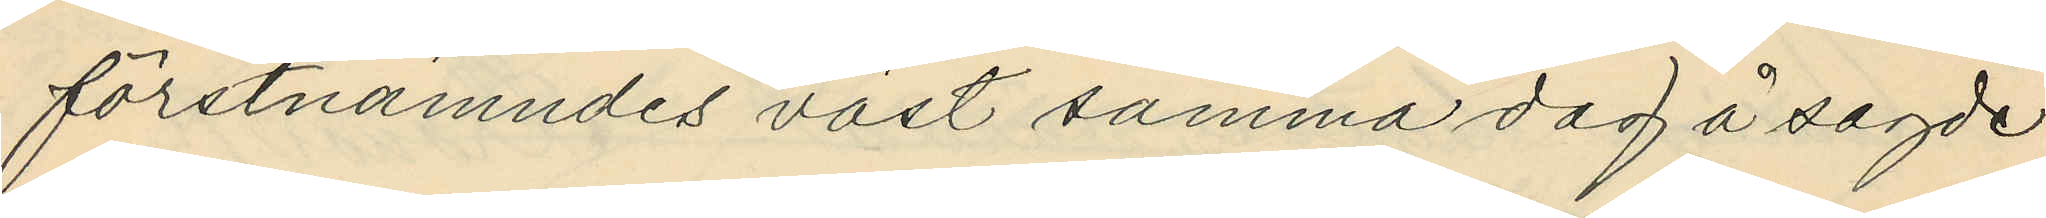förstnämndes väst samma dag å sagde
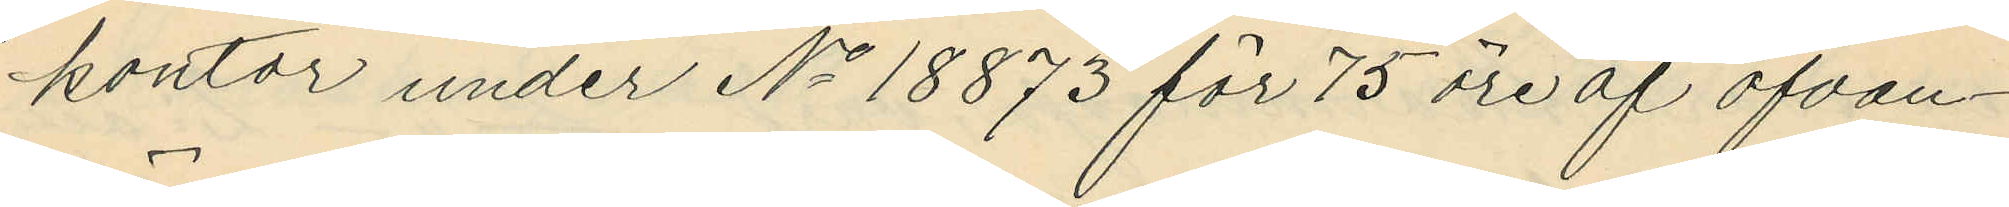kontor under No 18873 för 75 öre af ofvan¬
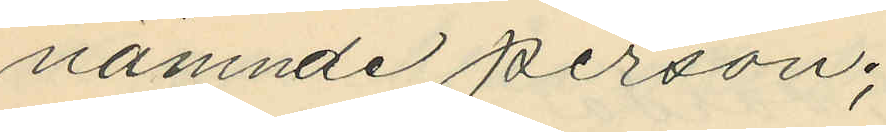nämnde person;
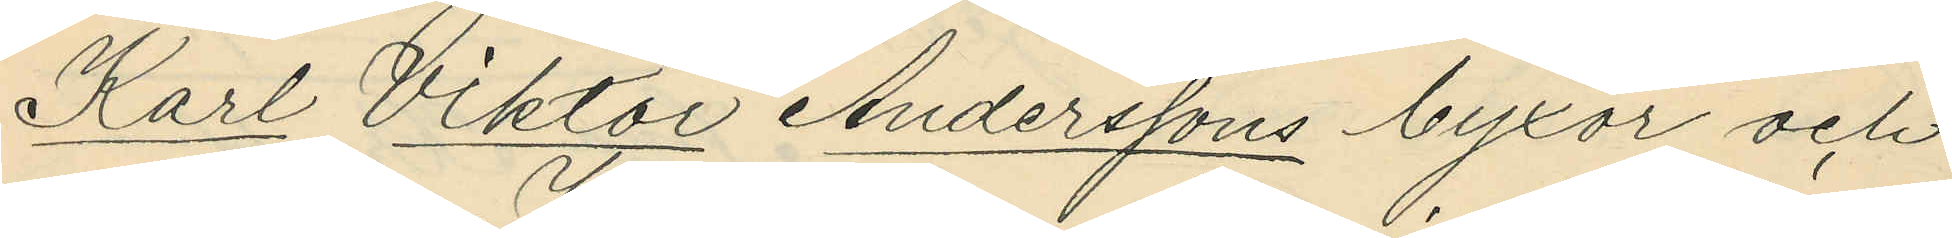Karl Viktor Anderssons byxor och
